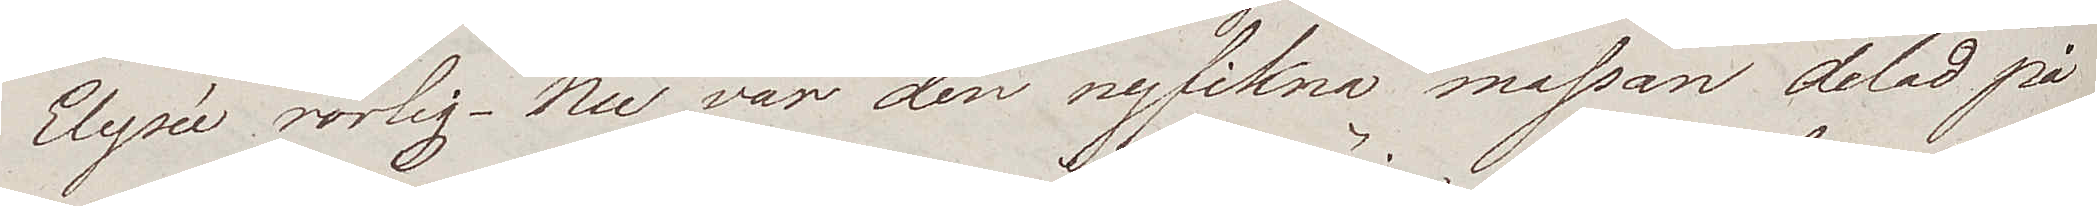Elysée rörlig. Nu var den nyfikna massan delad på
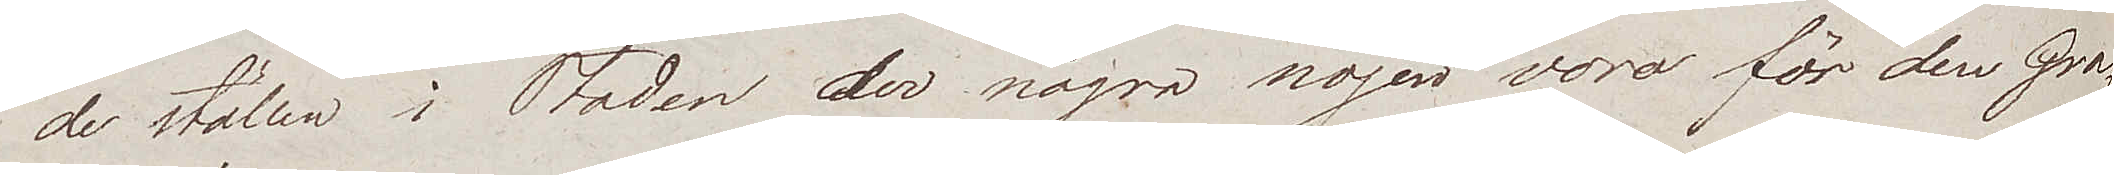de ställen i Staden der några nöjen voro för den Gra¬
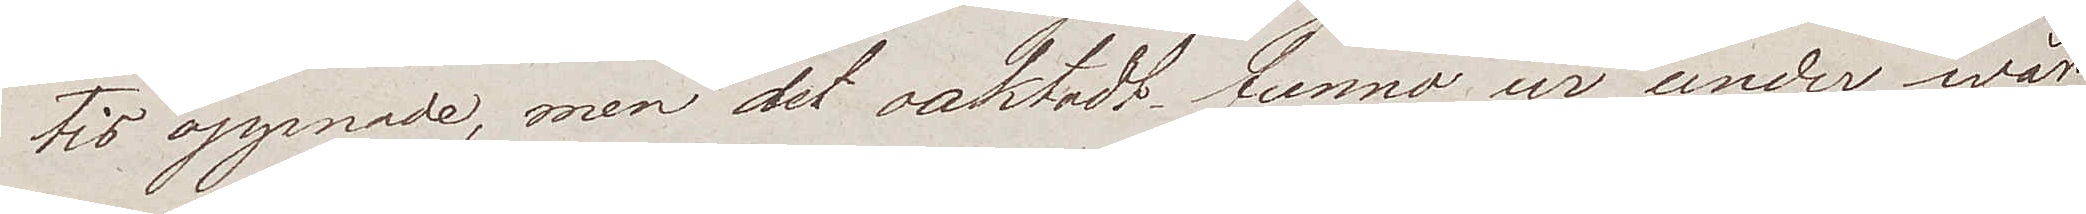tis öppnade, men det oaktadt funno wi under wår
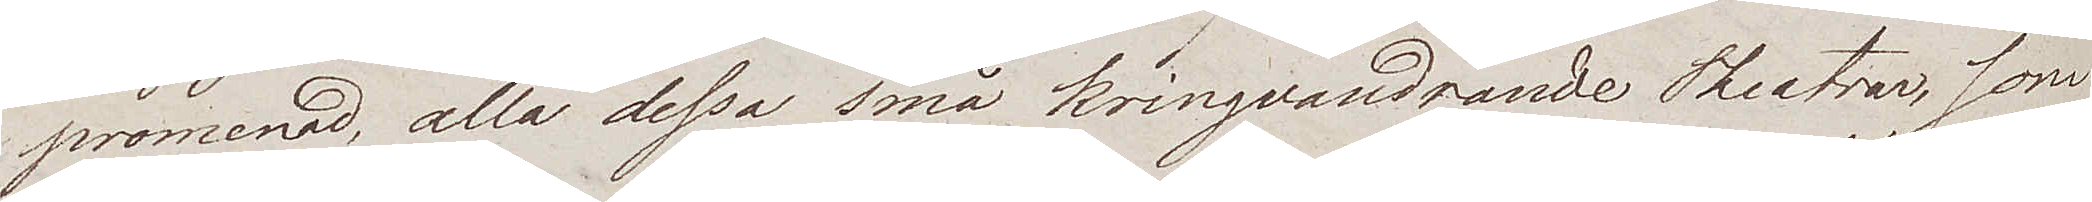promenad, alla dessa små kringvandrande Theatrar, som
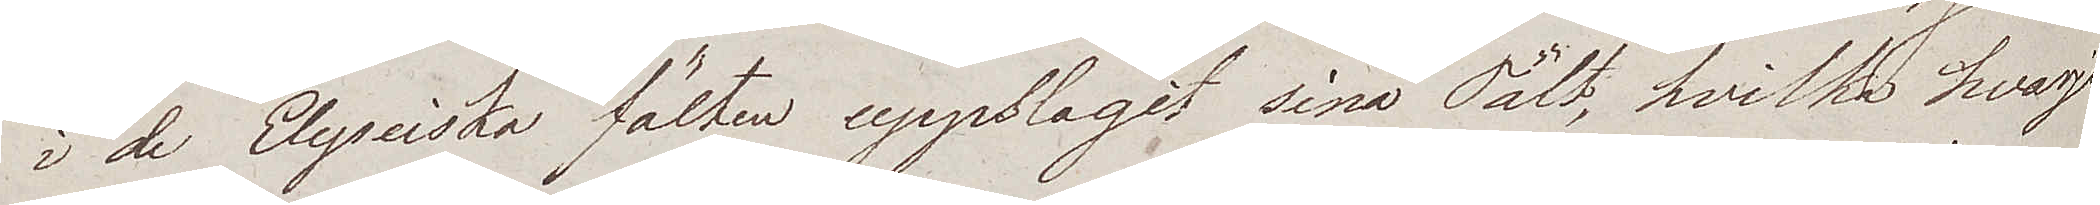i de Elyseiska fälten uppslagit sina Tält, hvilka hvarje
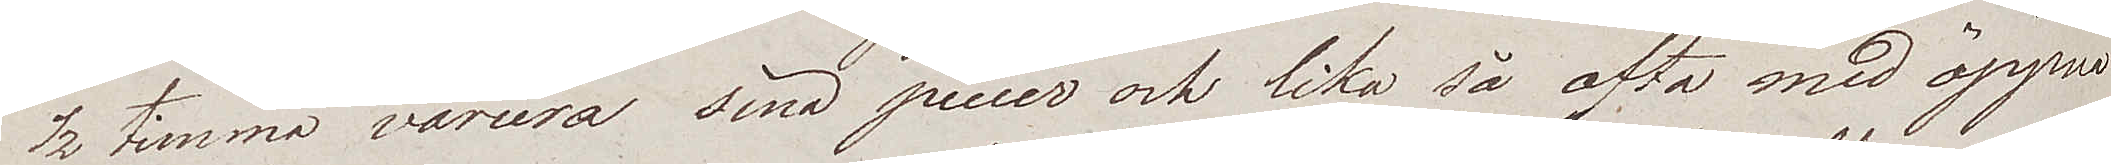½ timma variera sina piecer och lika så ofta med öppna
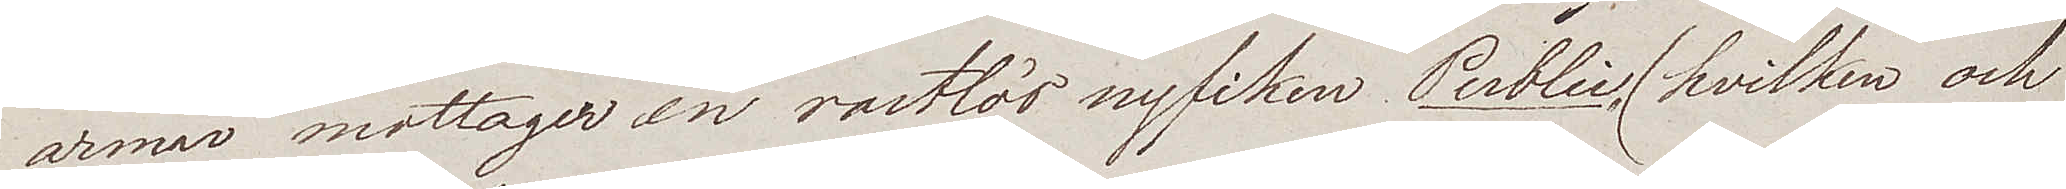armar mottager en rastlös nyfiken Public, (hvilken och
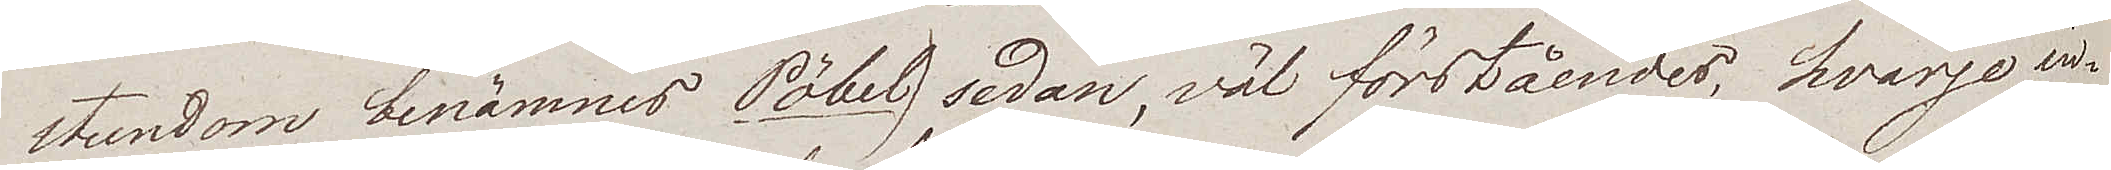stundom benämnes Pöbel) sedan, väl förståendes, hvarje in¬
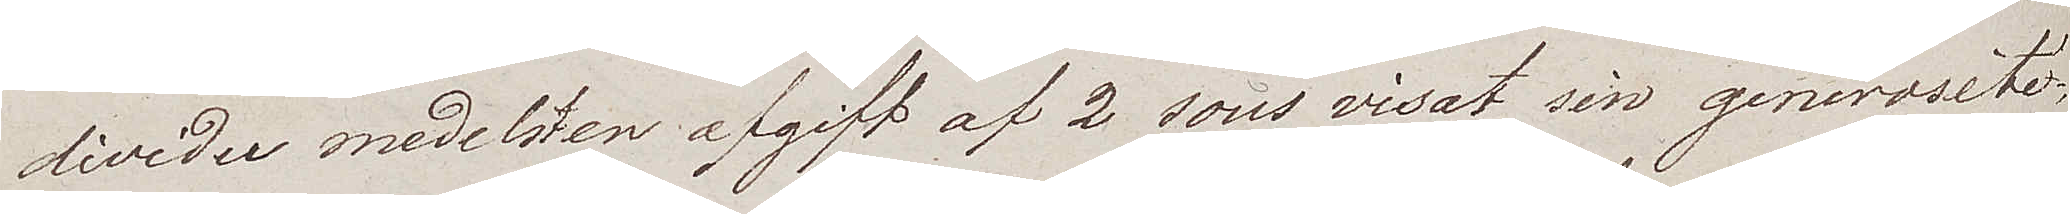divider medelsten afgift af 2 sous visat sin generosité;
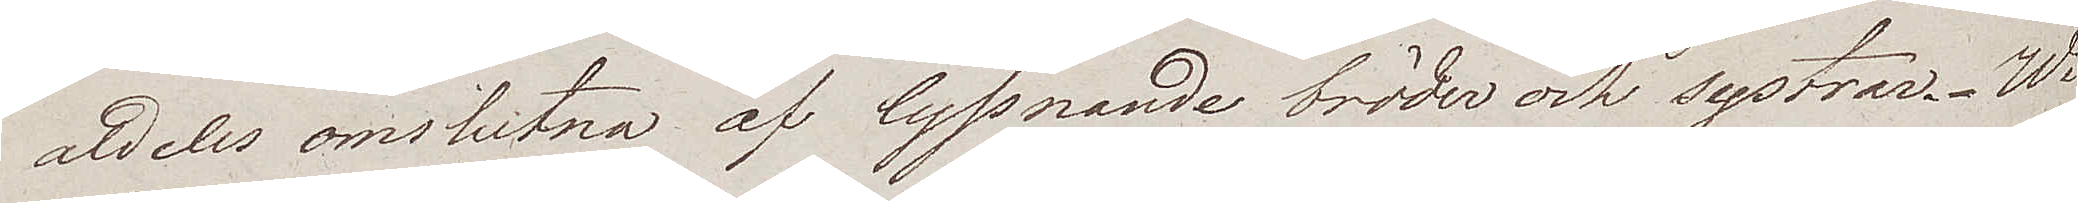aldeles omslutna af lyssnande bröder och systrar. Wi
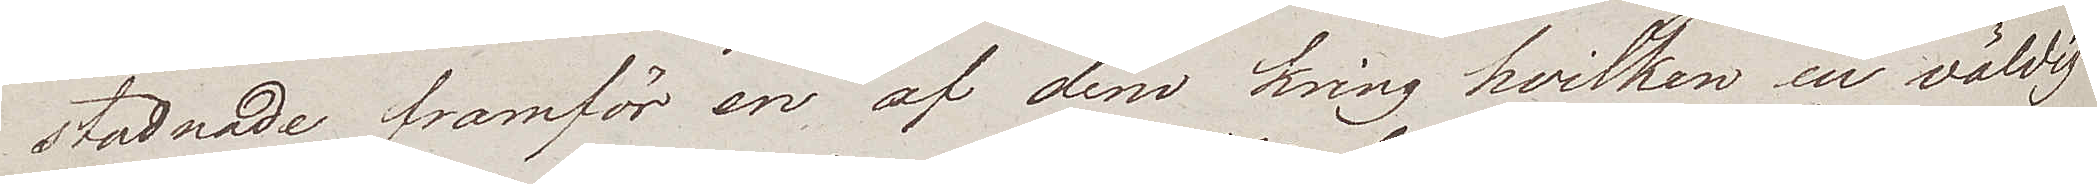stadnade framför en af dem kring hvilken en väldig
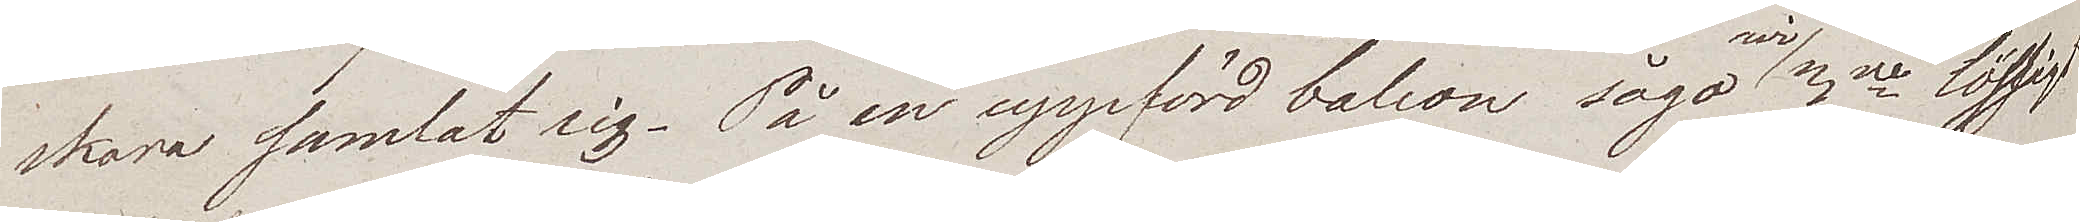skara samlat sig. På en uppförd balcon sågo wi 3ne lösligt
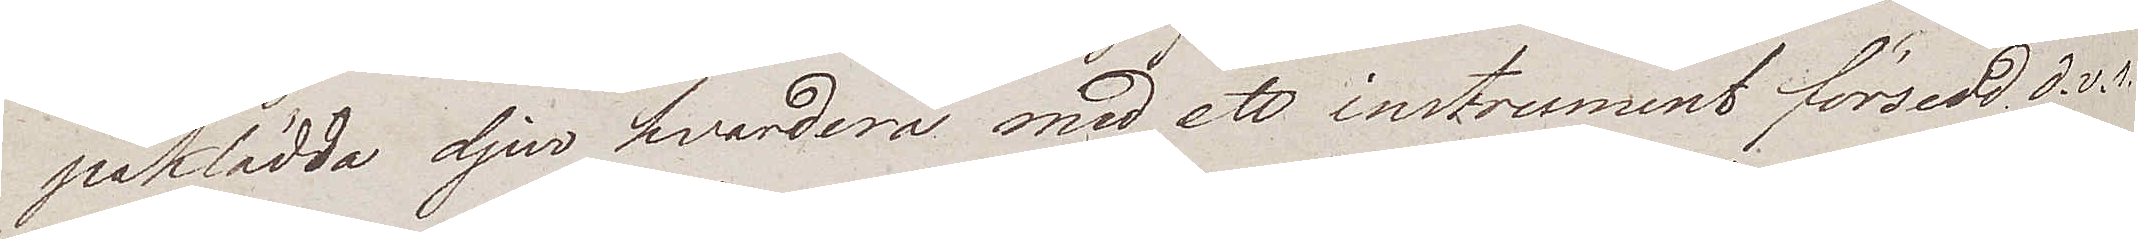påklädda djur hvardera med ett instrument försedd d.v.s.
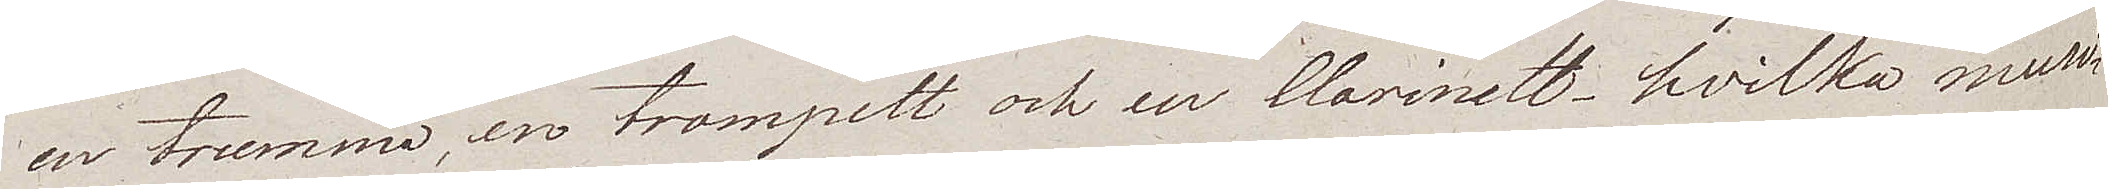en trumma, en trompett och en Clarinett hvilka musi¬
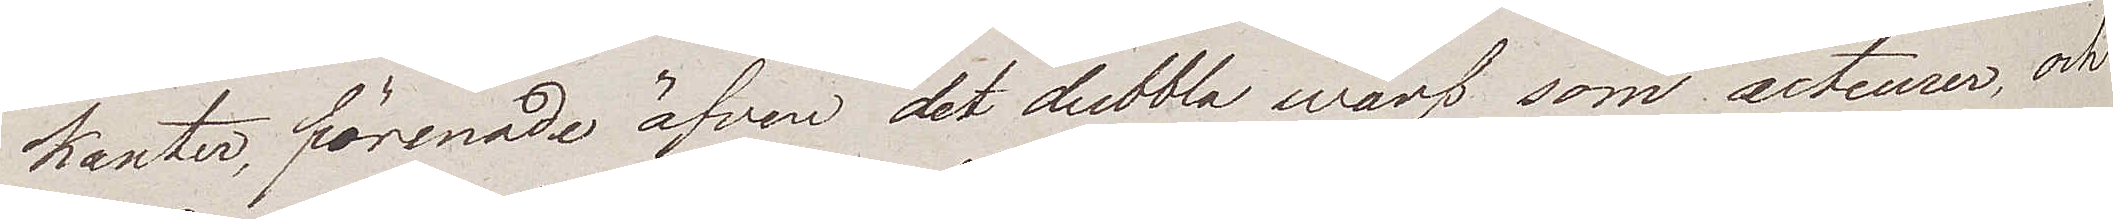kanter, förenade äfven det dubbla wärf som acteurer, och
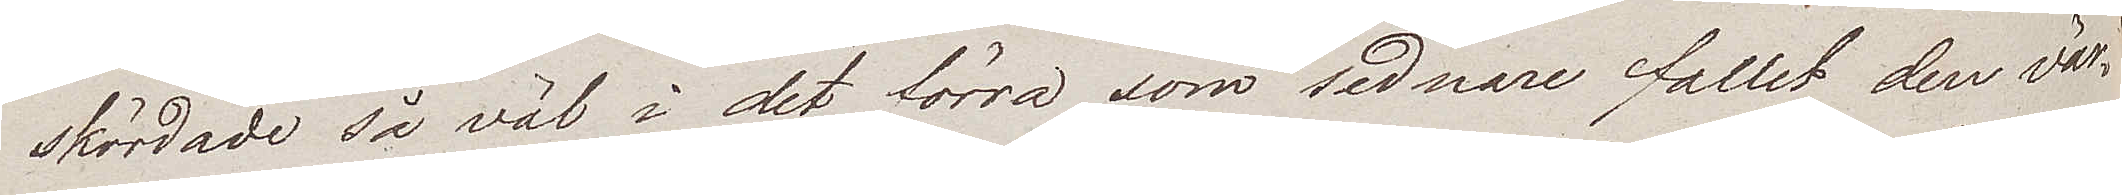skördade så väl i det förra som sednare fallet den vär¬
